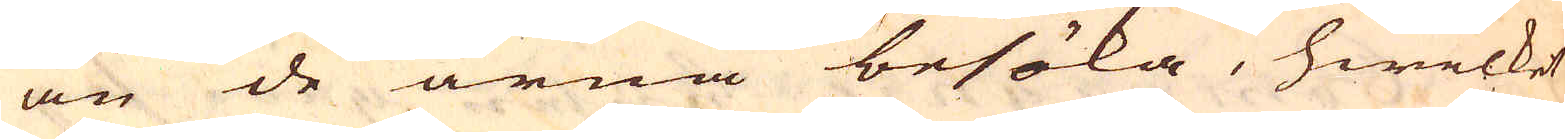än de ärna besöka, hwilket
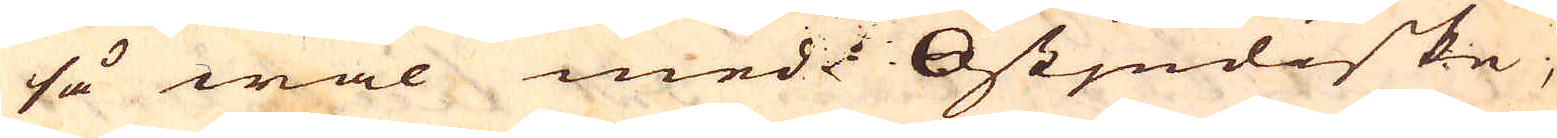så wäl med Östjndiske,
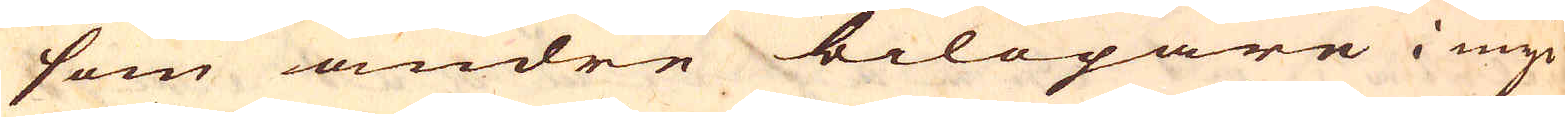som andre bilöpare i myc-
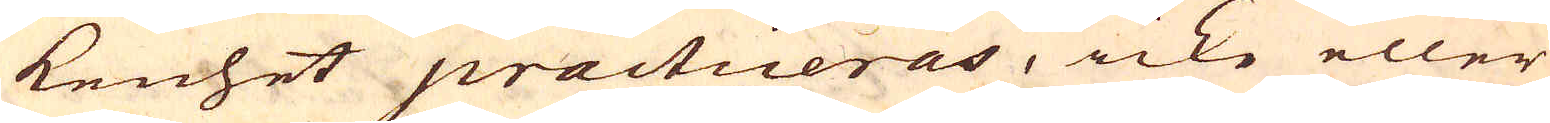kenhet practiceras, icke eller
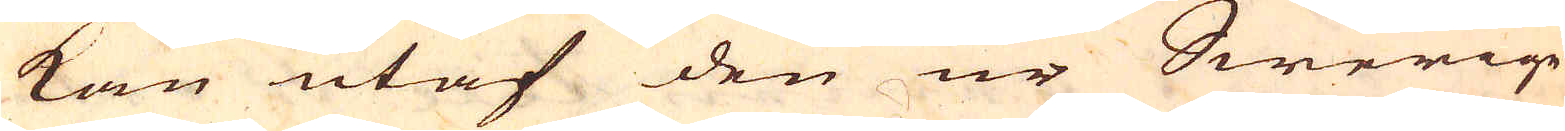kan utaf den ur Swerige
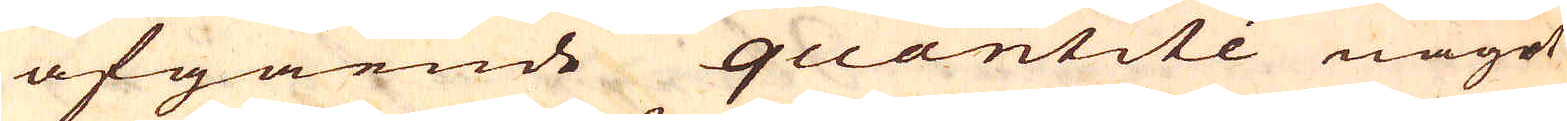afgående quantité något
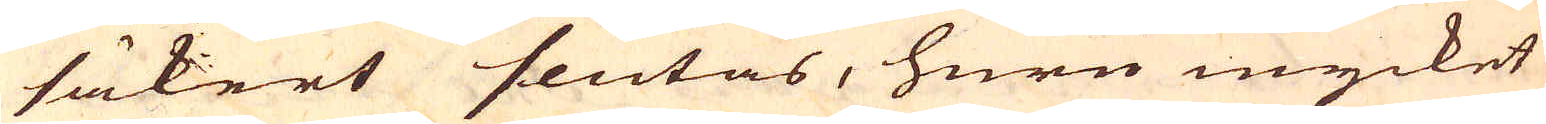säkert slutas, huru mycket
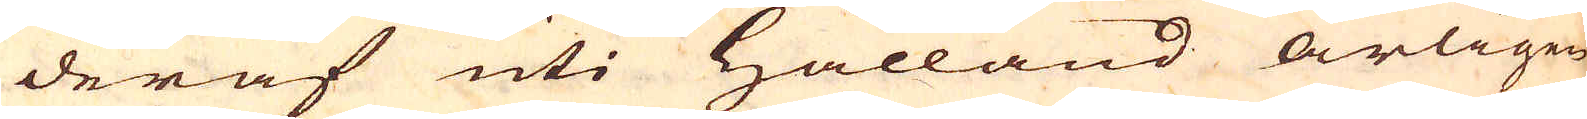deraf uti Hålland årligen
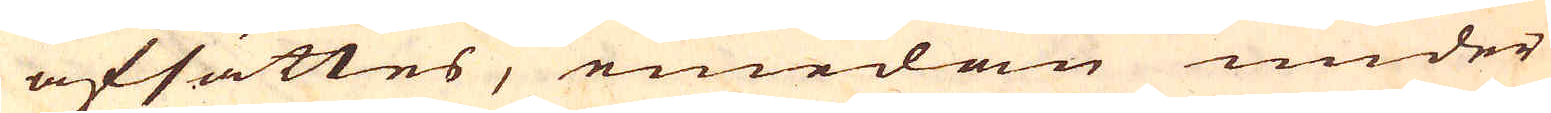afsättes, emedan under
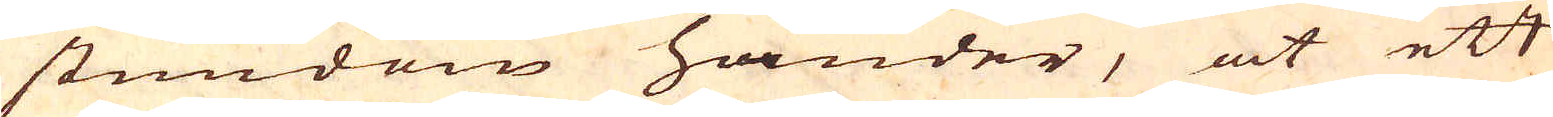stundom händer, at ett
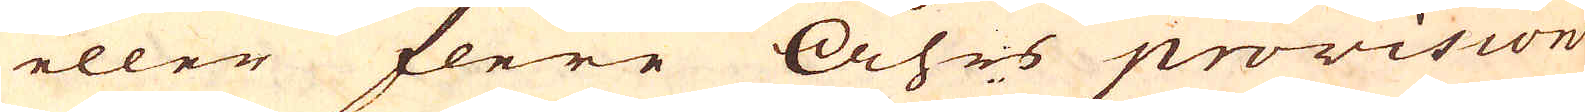eller flere Åhrs provision
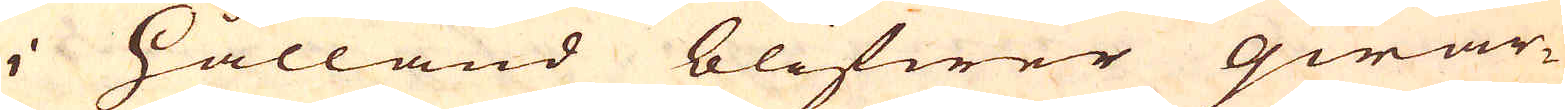i Hålland blifwer qwar-
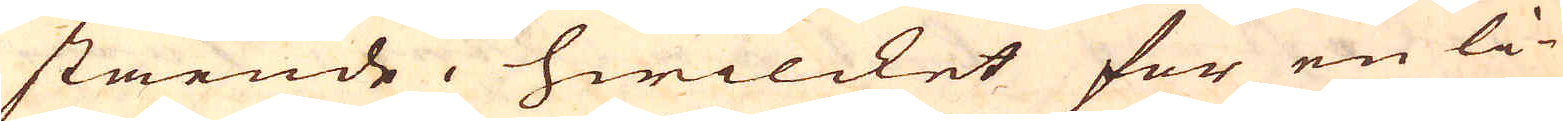stående, hwilcket för en li-
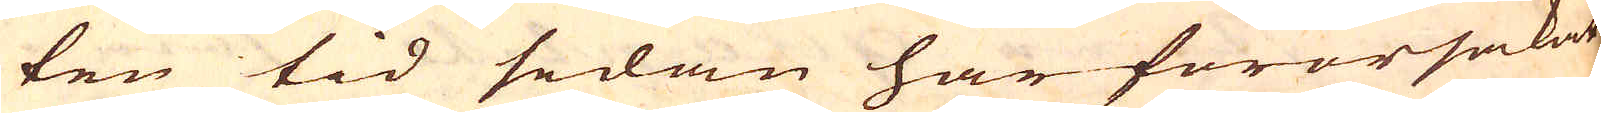ten tid sedan har förorsakat
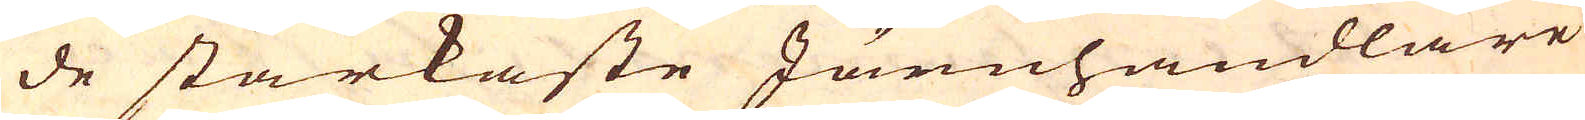de starkaste Järnhandlare
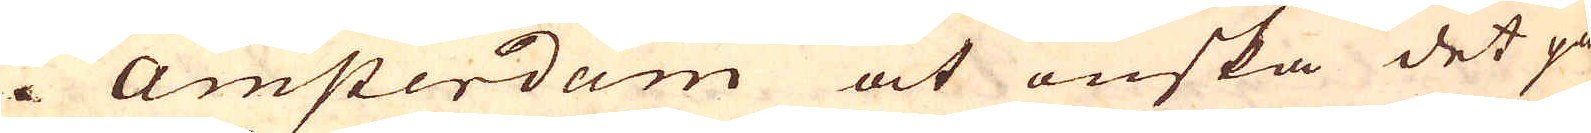i Amsterdam at önska det på
